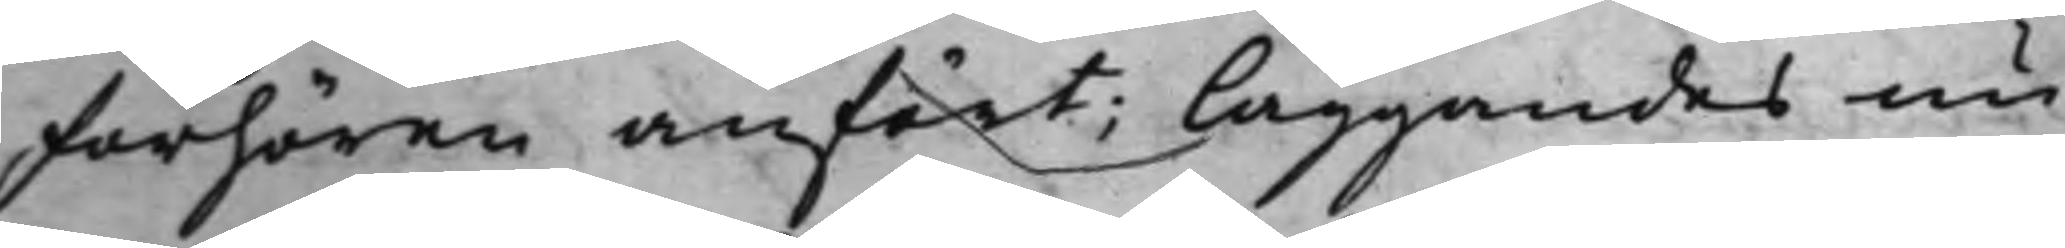förhören anfört; läggandes nu
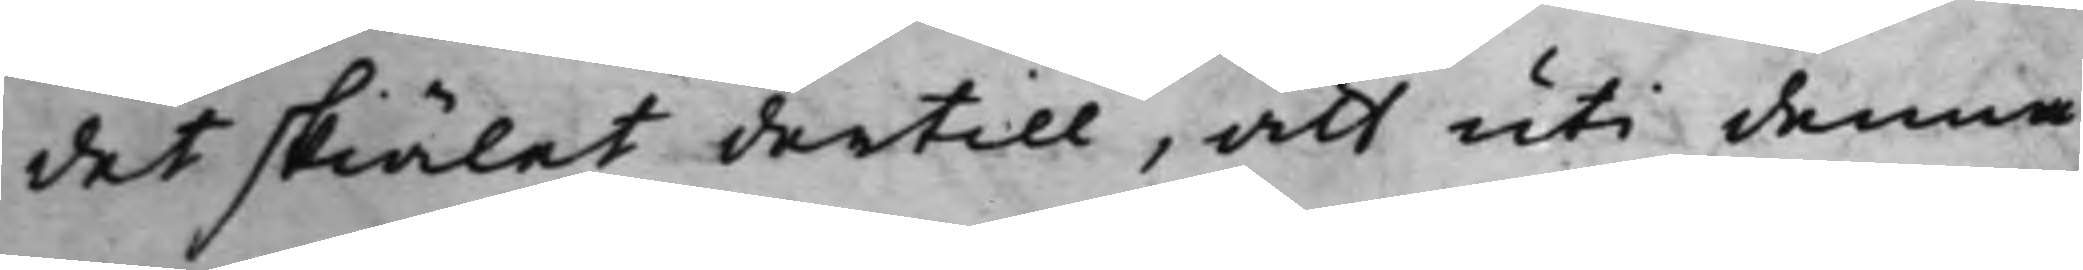det skiälet dertill, att uti denna
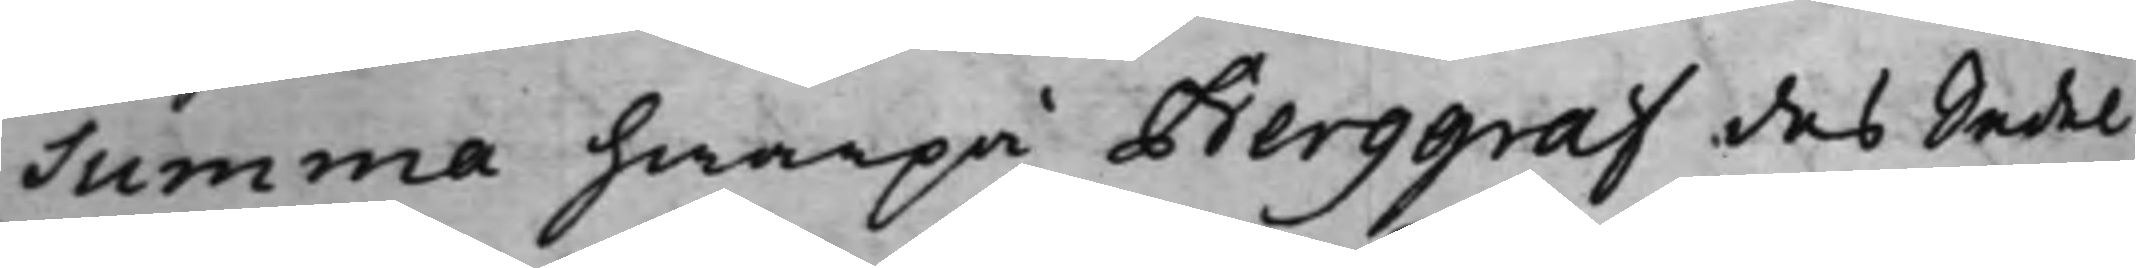Summa hwarpå Berggraf des Sedel
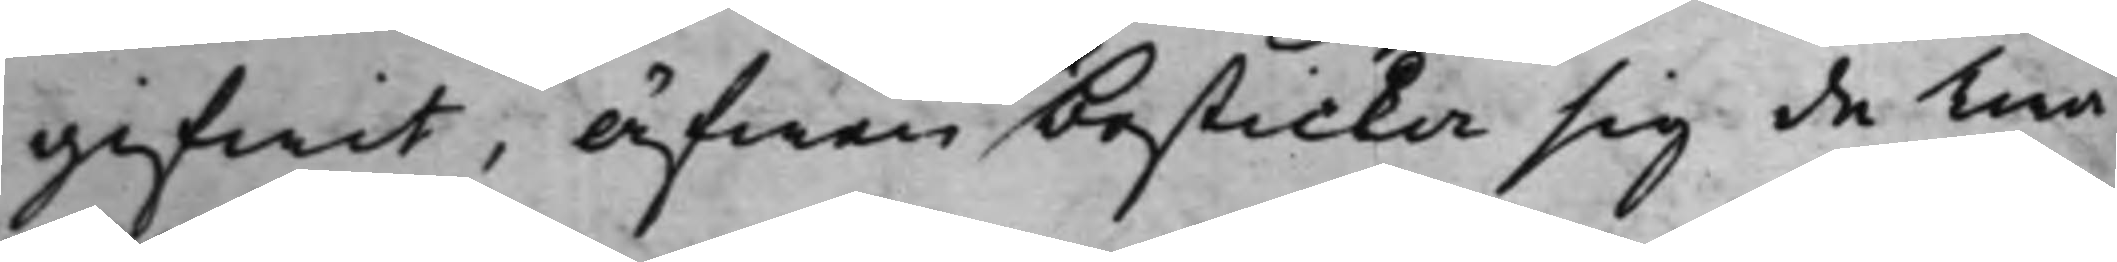gifwit, äfwen besticka sig de Twå¬
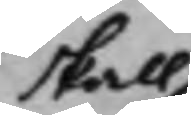skall
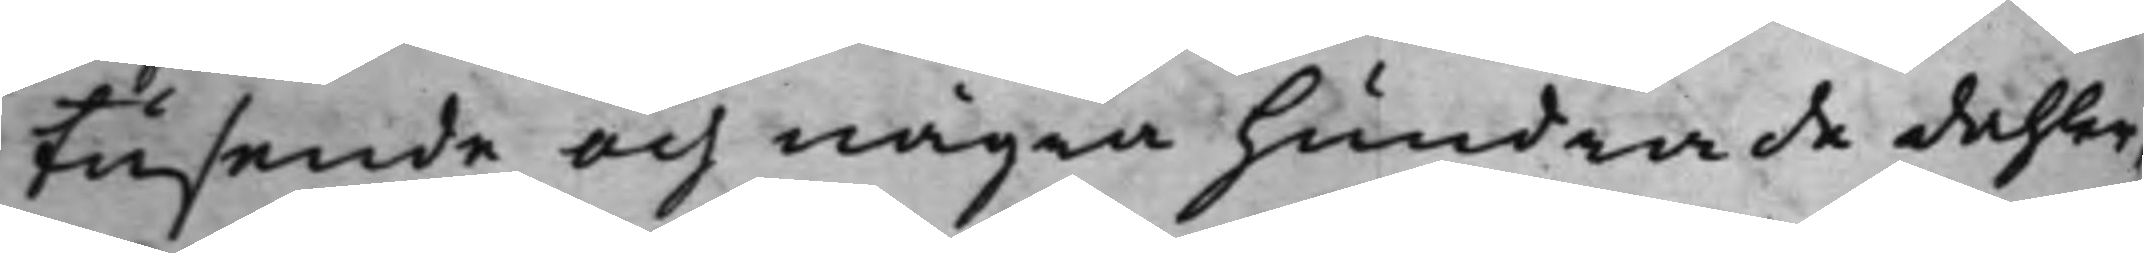tusende och några hundrade dahler,
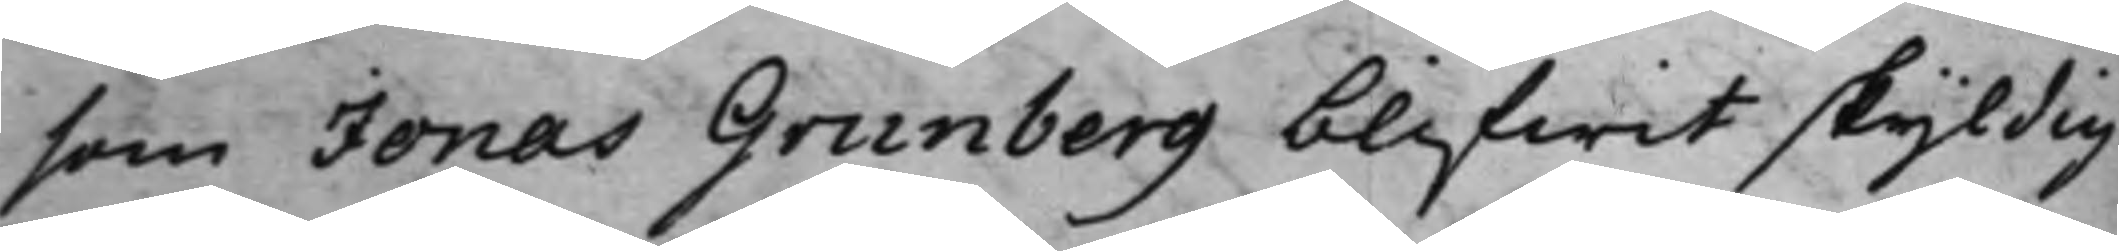som Jonas Grunberg blifwit skyldig
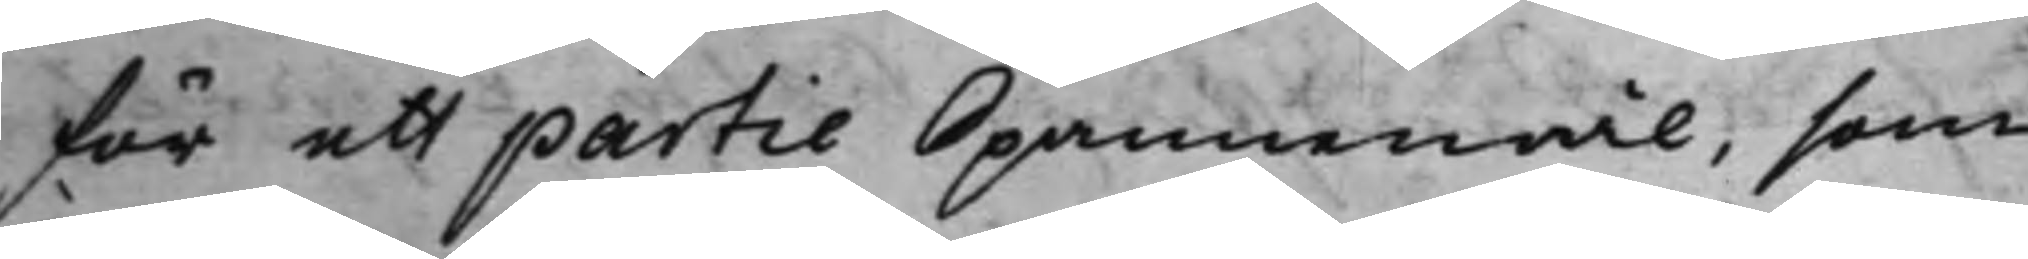för ett partie Spannemål, som
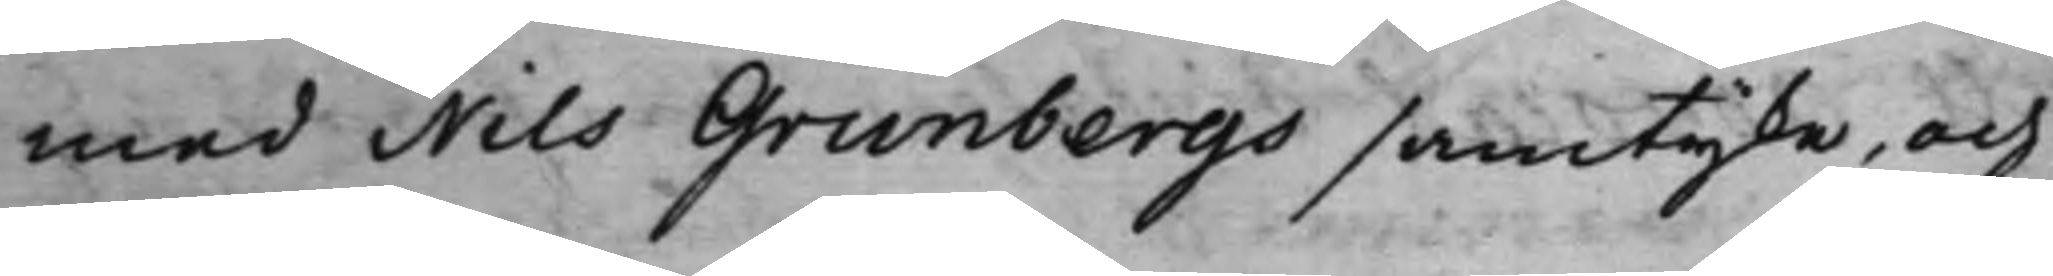med Nils Grunbergs samtycke, och
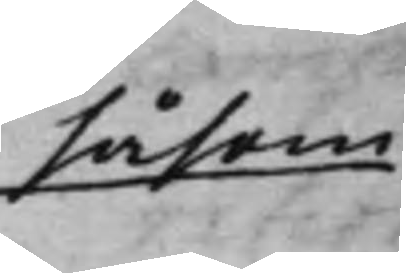såsom
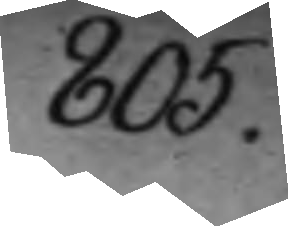805.
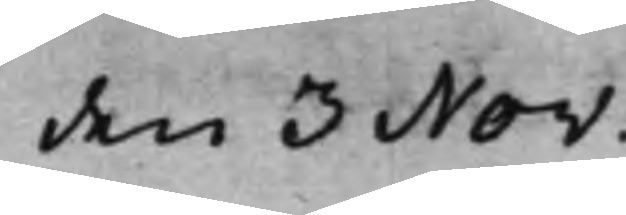den 3 Nov:
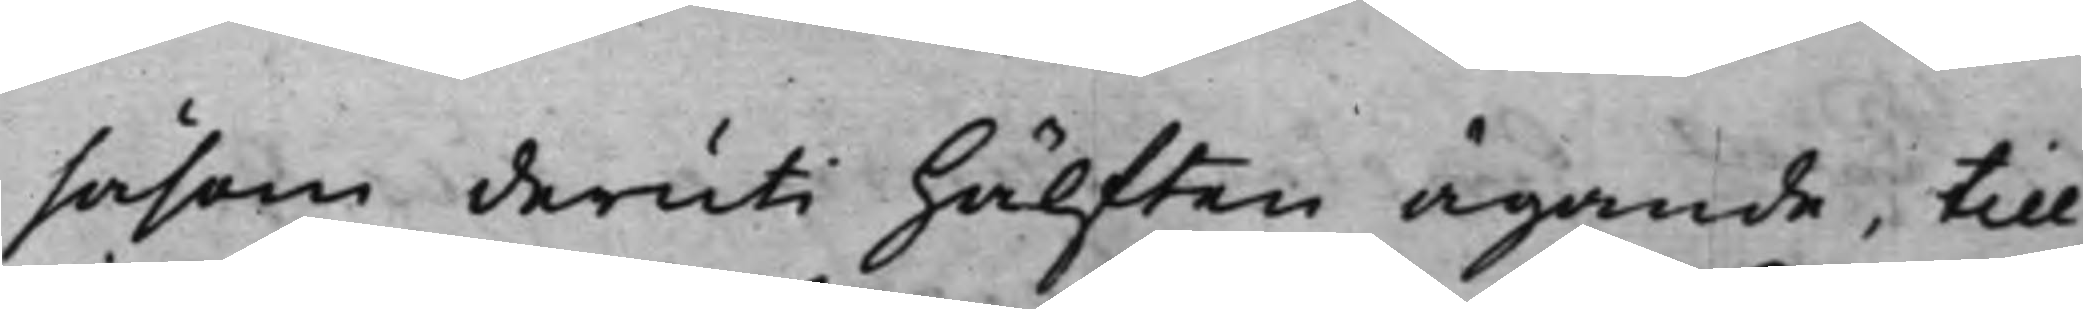såsom deruti hälften ägande, till
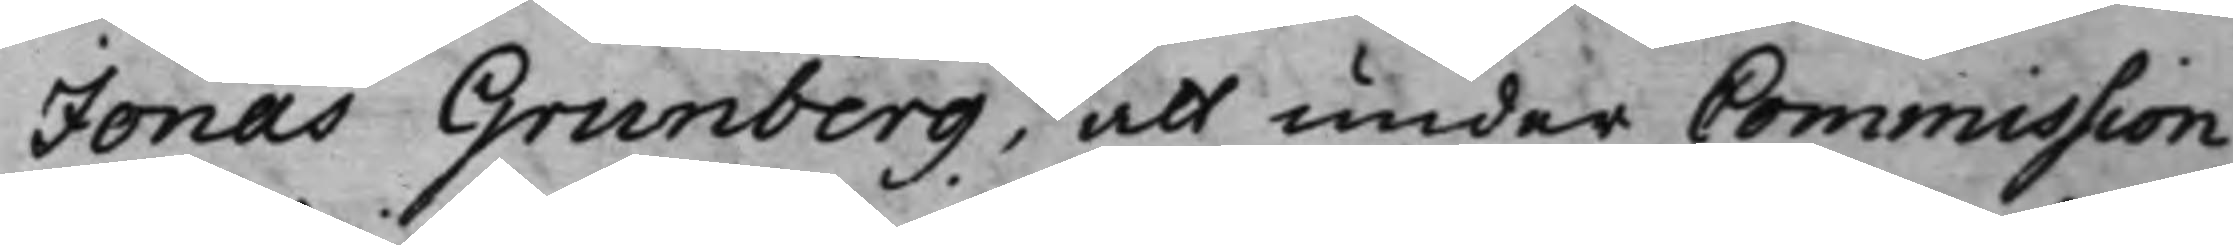Jonas Grunberg, att under Commission
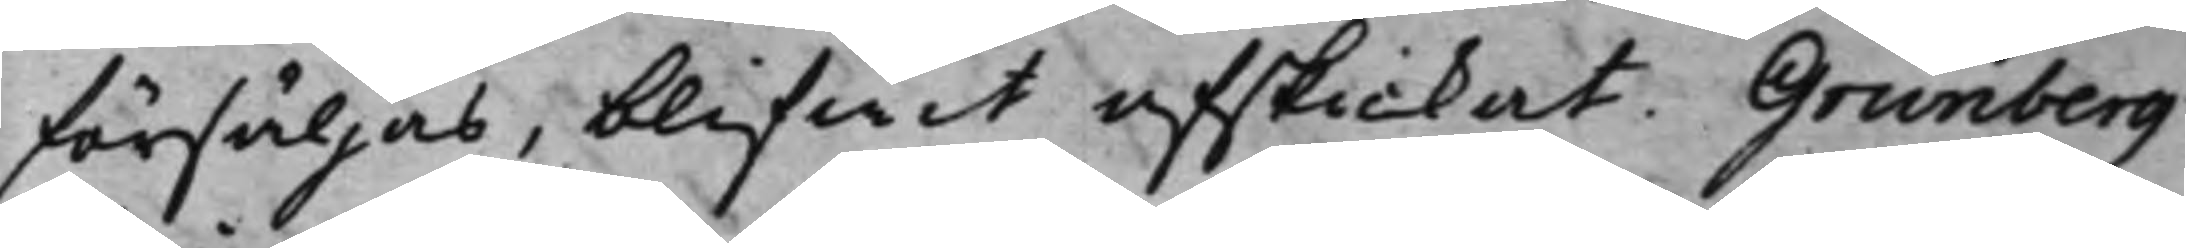försäljas, blifwit afskickat. Grunberg
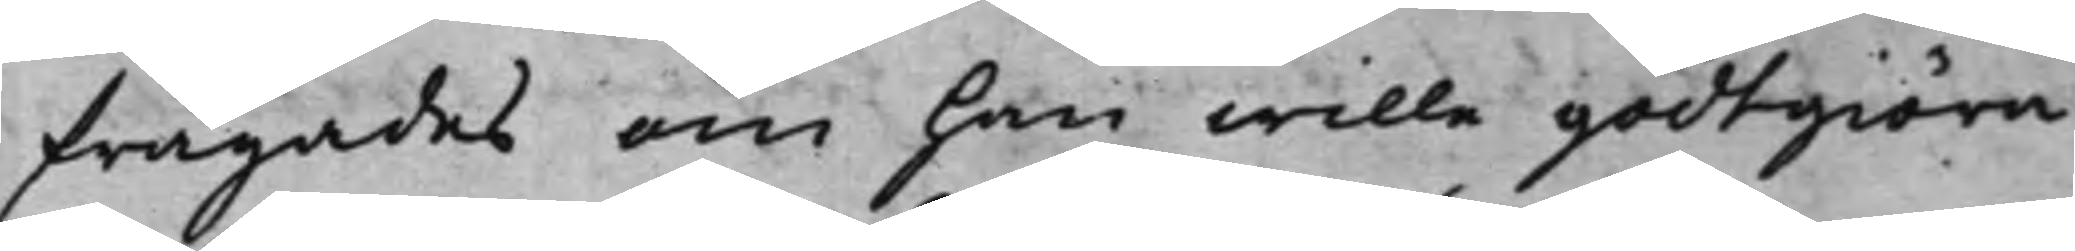frågades om han wille godtgiöra
